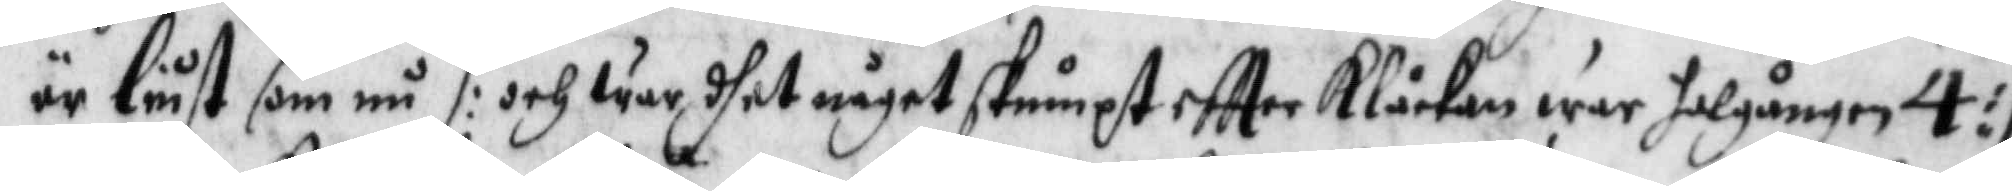är liust som nu /: och war dhet något skumpt eftter Klåckan war solgången 4 :/
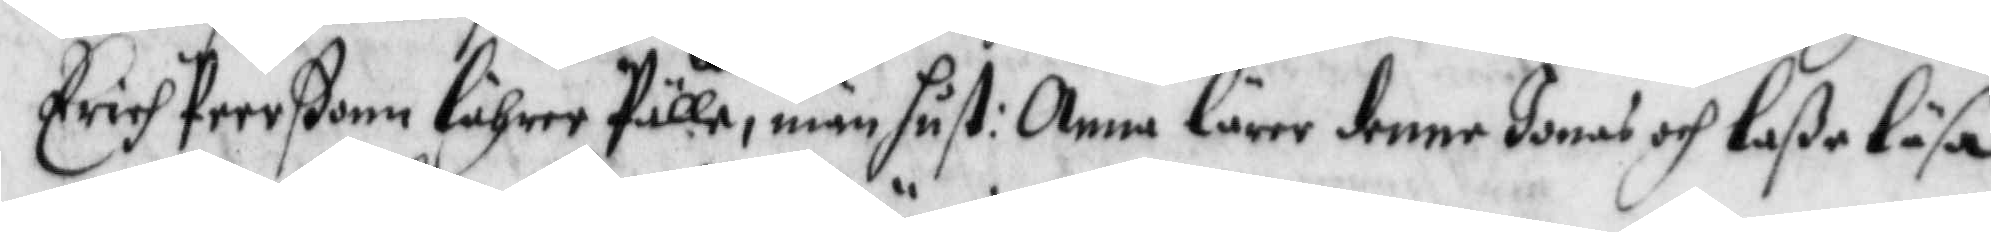Erich Peerßonn lährer fulle, män hust: Anna lärer denne Jonas och Laße Läsa,
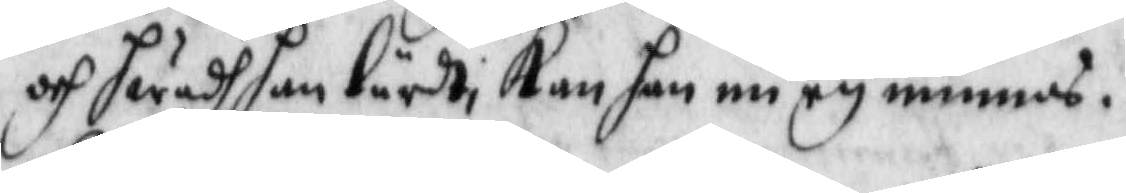och hwadh han Lardt Kan han nu ey minnas.
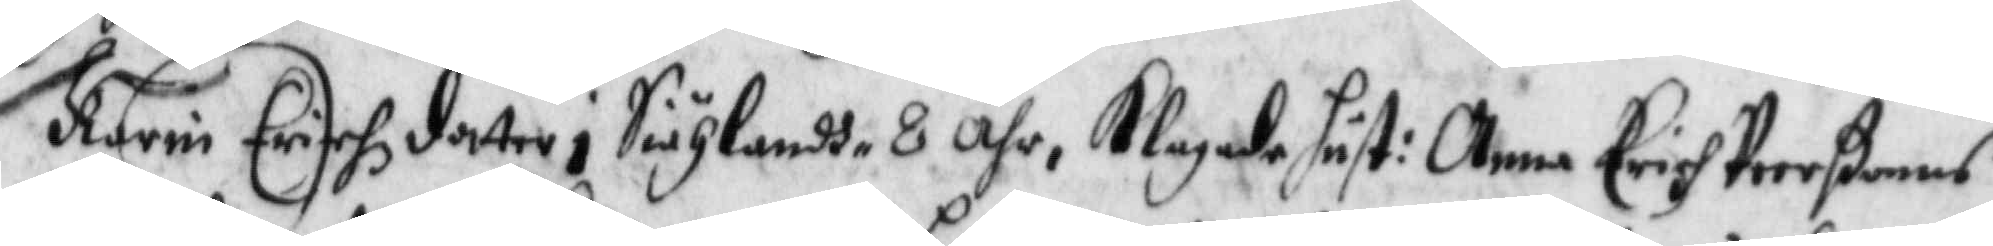Karin Erichsdotter i Siählandh 8 Åhr, Klagade hust: Anna Erich Peerßonns
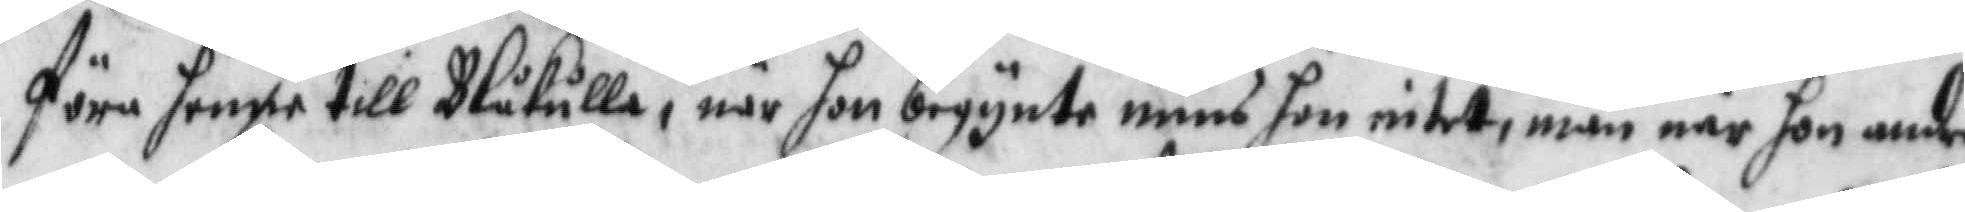föra hennen till Blåkulla, när hon begynte mins hon intet, män när hon andra
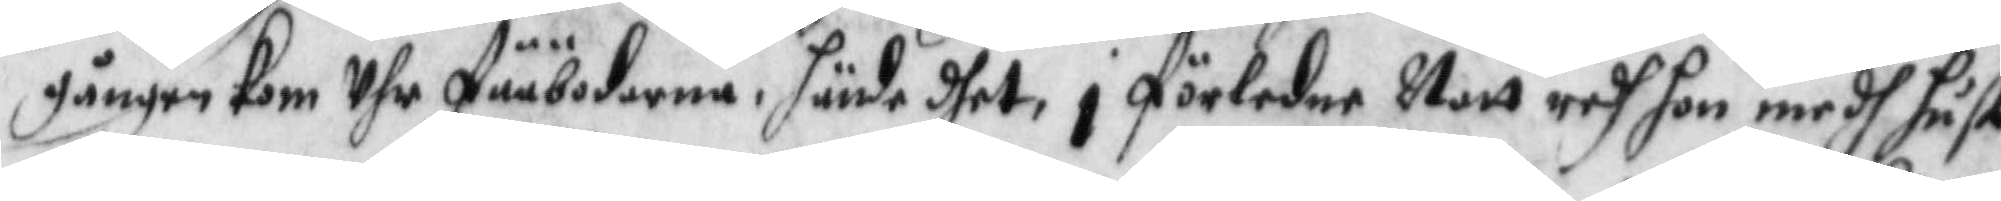gången Kom Uhr fääbodarna, hände dhet i Förledne Natt redh hon medh hust:
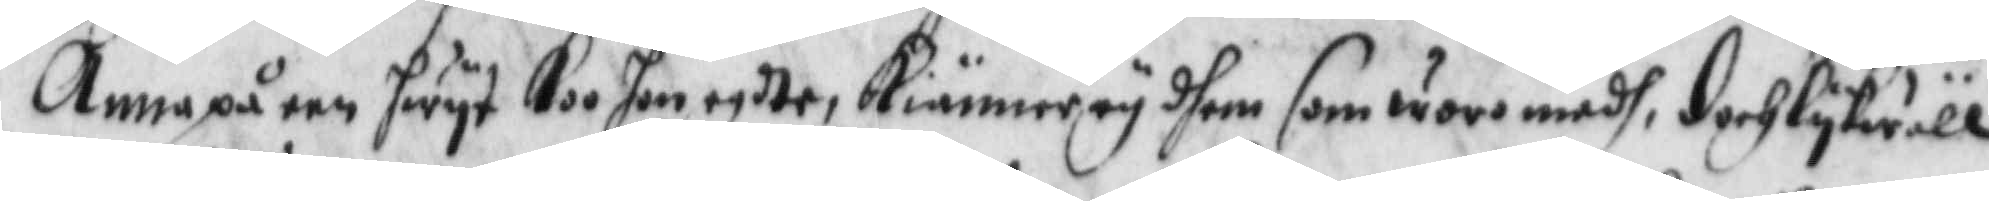Anna på een hwyt Koo hon egdte, Kiänner ey dhem som woro medh, doch lykwäll
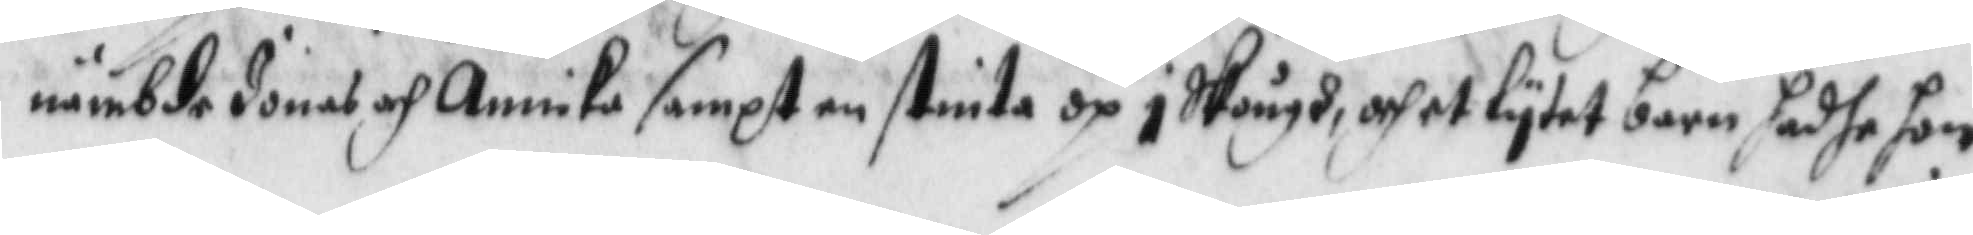nämbde Jonas och Annika sampt en stinta op i Skough, och et lytet barn hadhe hon
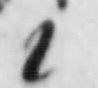i
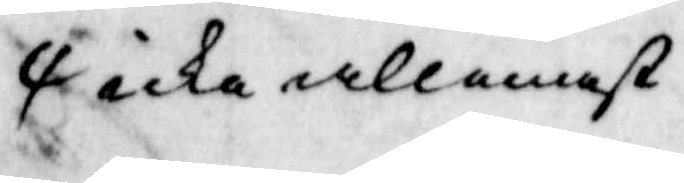icke allenast
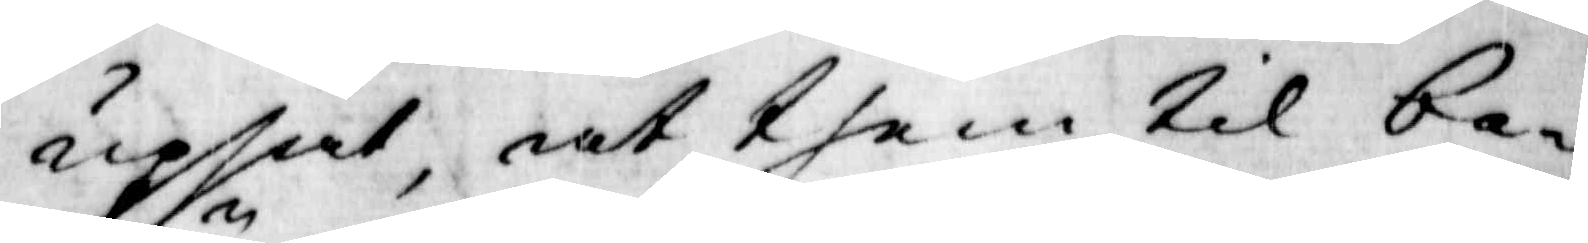upsåt, at them til be¬
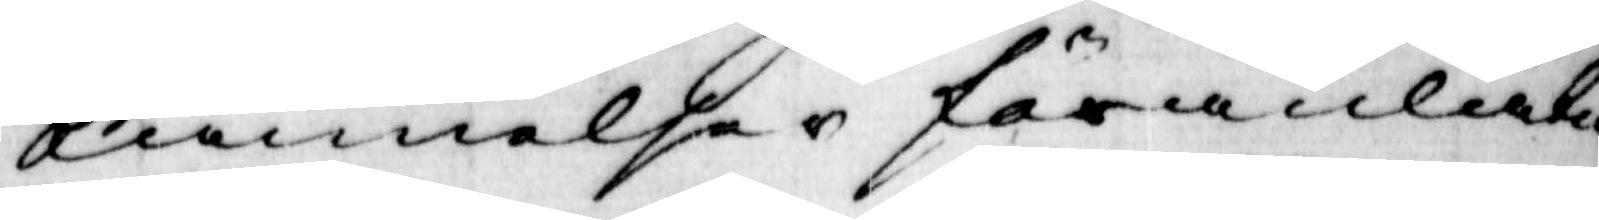kännelse i föramlåtne
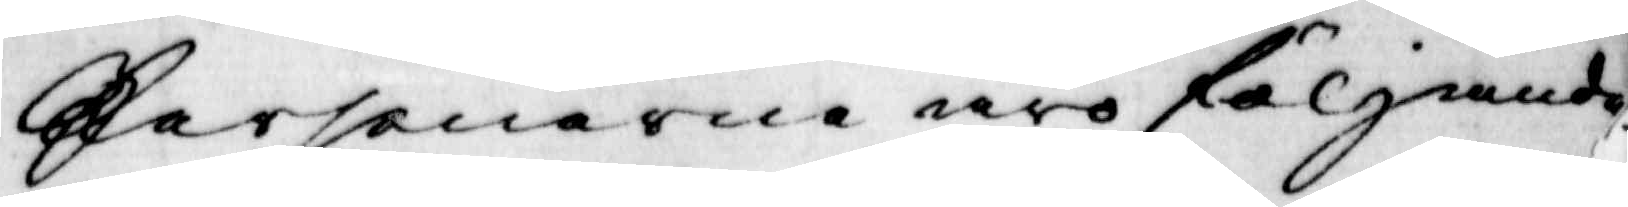personerna äro förljande
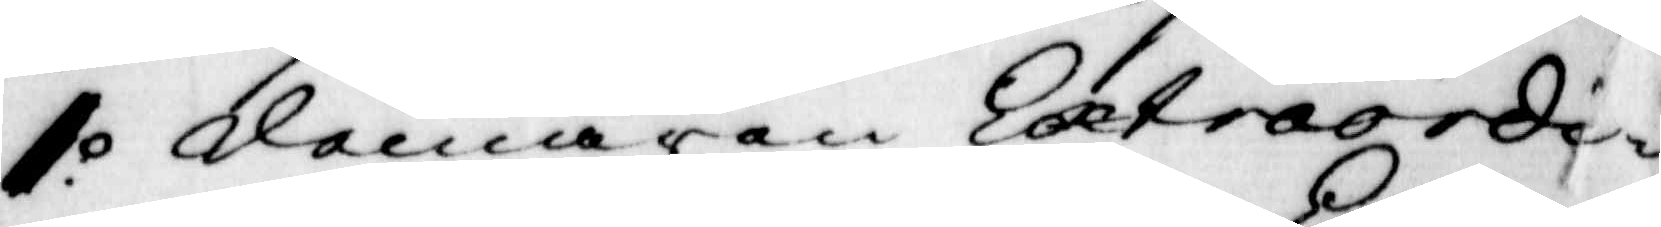1:o domaren Extraordi¬
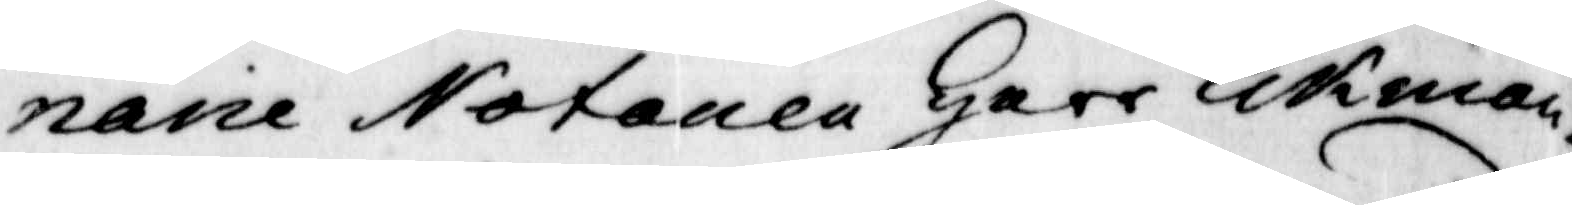narie Notarien herr Eckman.
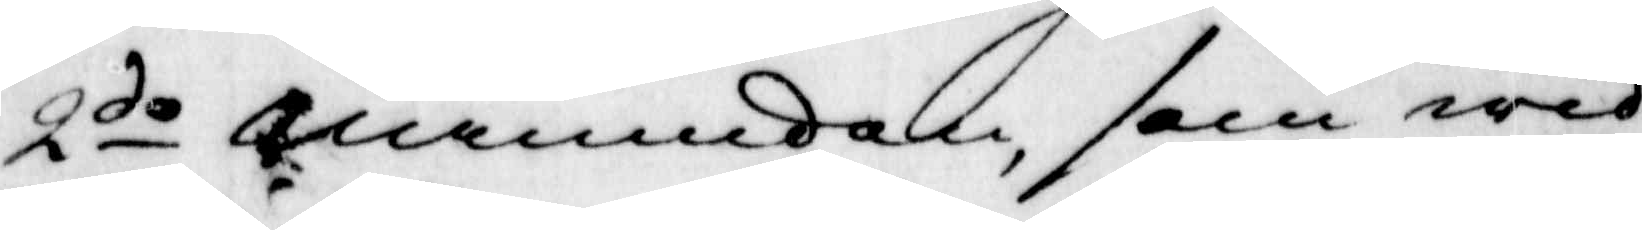2do nämnden, som wid
